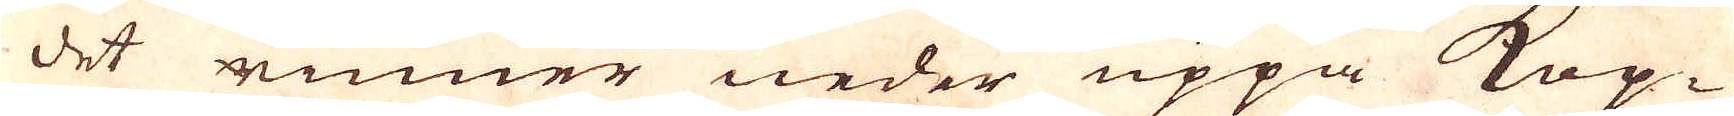det rinner neder uppå Kop-
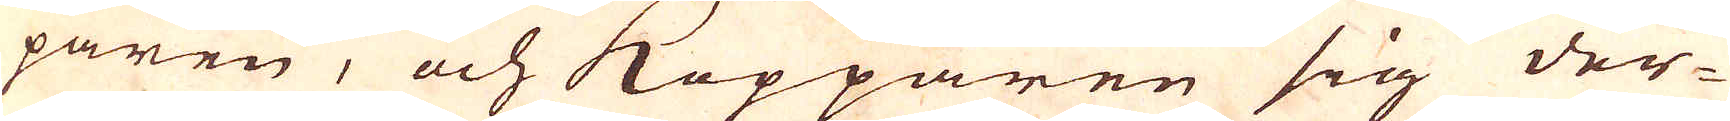paren, och Kopparen sig der-
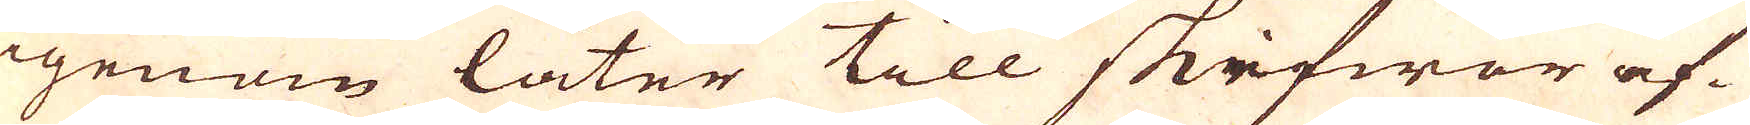igenom låter till skifwor af-
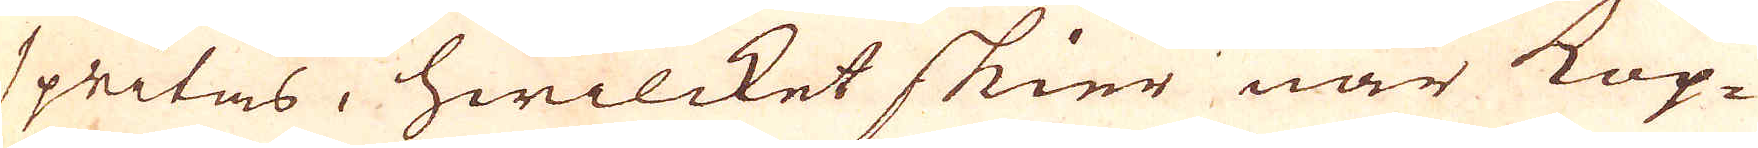spritas, hwilcket skier när Kop-
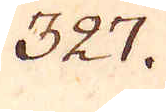327.
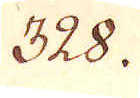328.
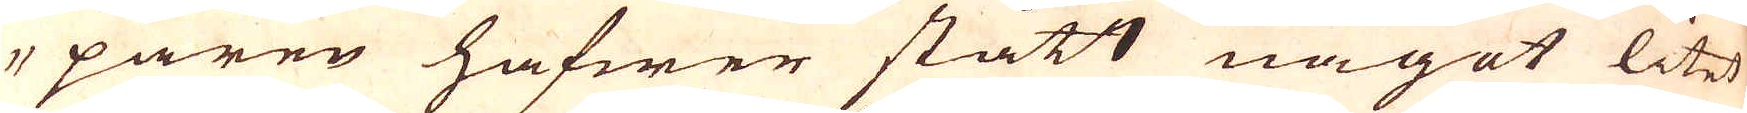paren hafwer stått något litet
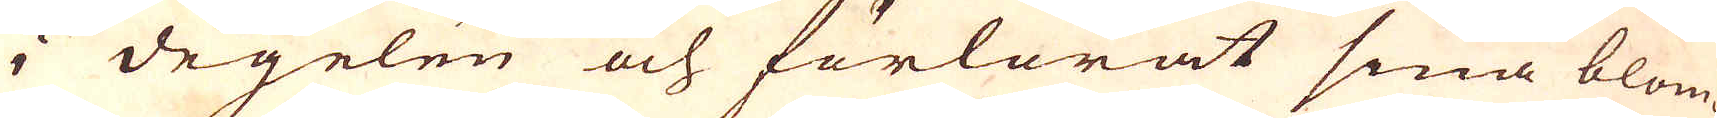i degelen och förlorat sina blom-
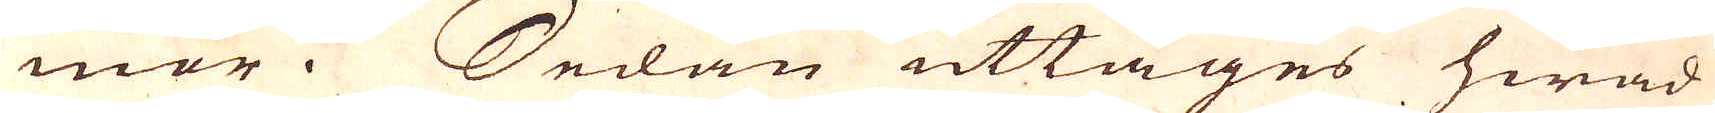mor. Sedan uttages hwad
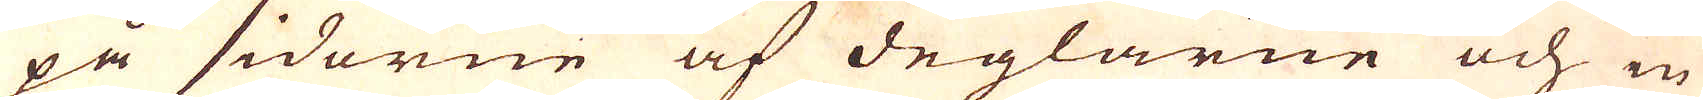på sidorne af deglarne och in
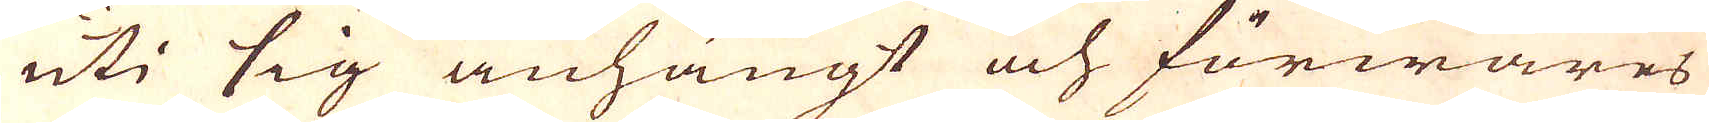uti sig anhängt och förwares
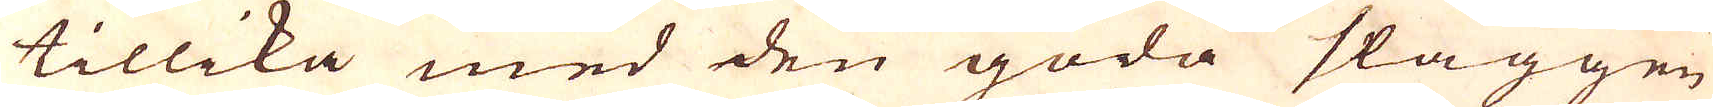tillika med den goda slaggen
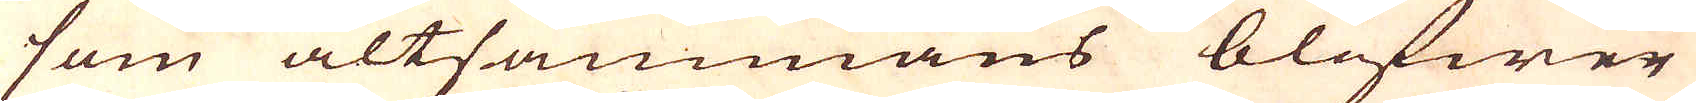som altsammans blifwer
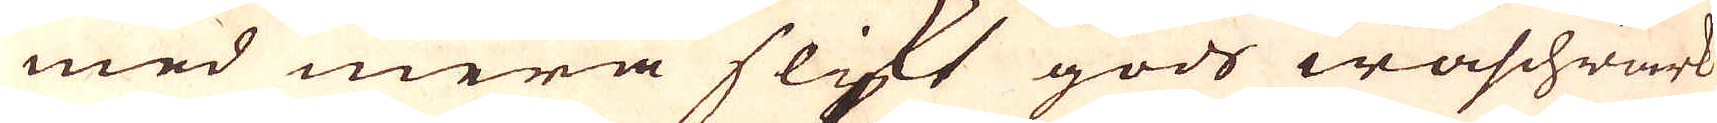med mera slikt gods Waschwärk
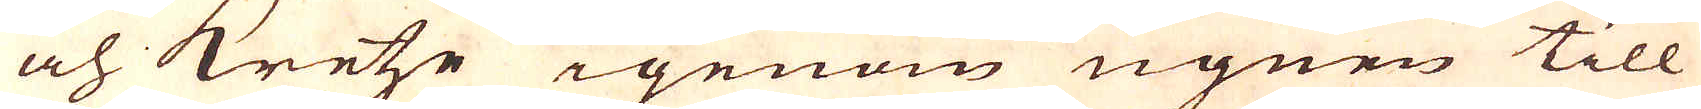och Kretze igenom ugnen till
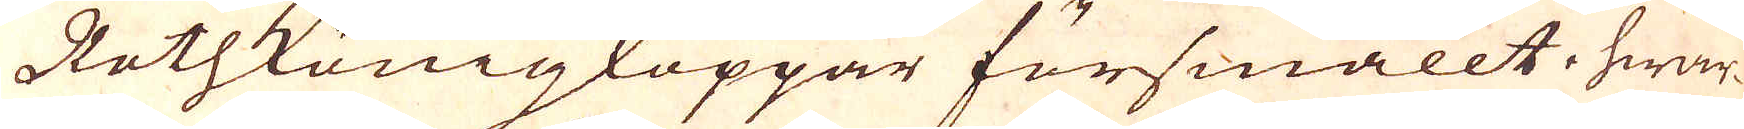Rothkönigkoppar försmällt, hwar-
